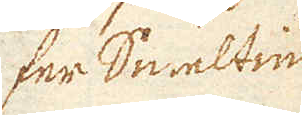fer Smeltin-
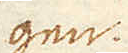gen.
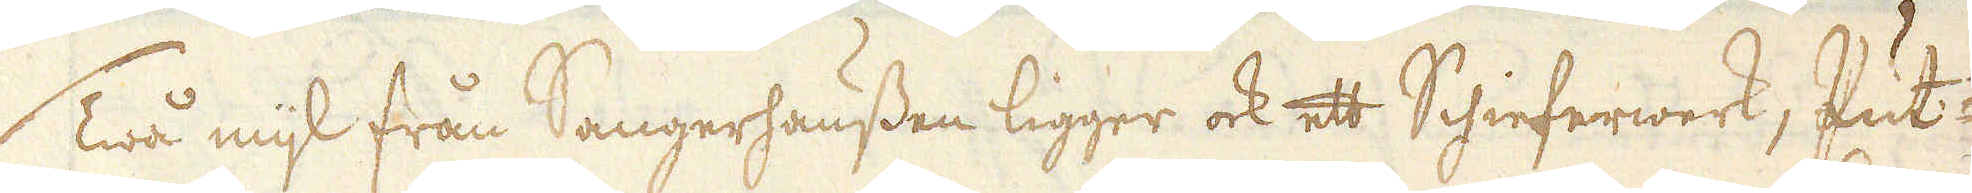Twå mijl från Sangerhaussen ligger ock ett Schieferwerk, Put-
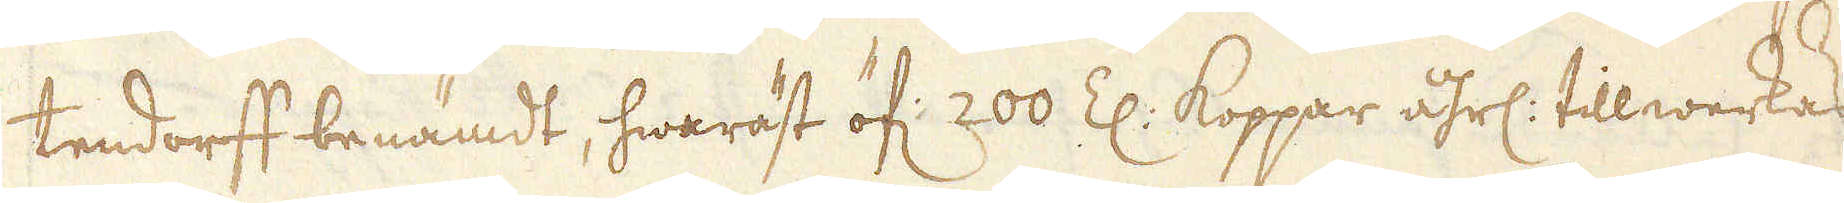tendorff benämdt, hwaräst öf: 200 Z: Koppar åhrl: tillwerkas,
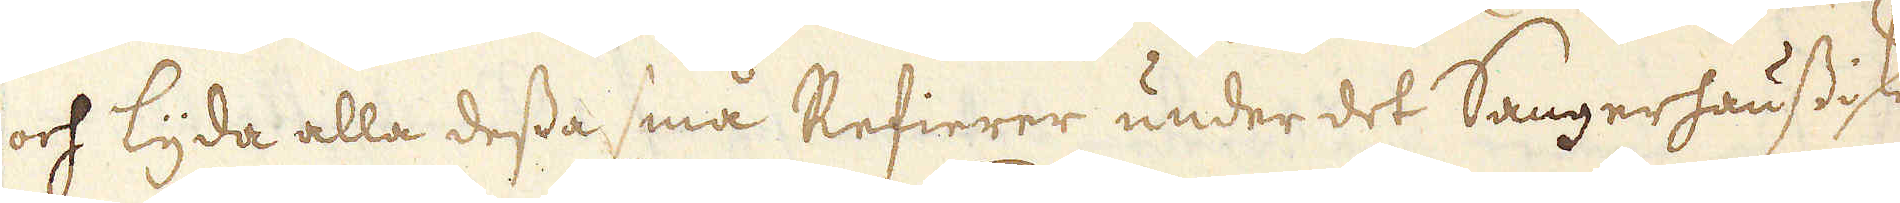och lyda alla dessa små Refierer under det Sangerhaussiske
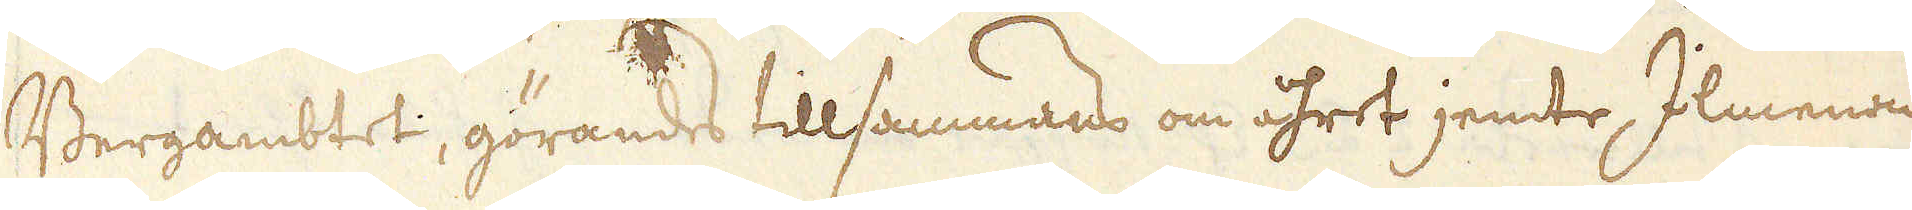Bergambtet, görandes tillsammans om åhret jemte, Ilmennau
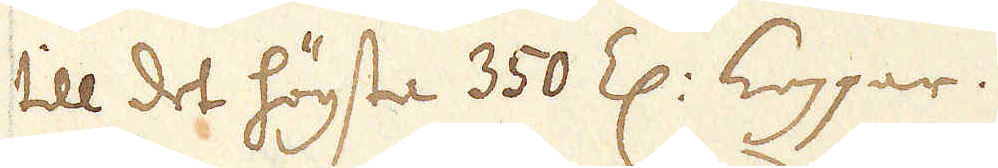till det högsta 350 Z: Koppar.
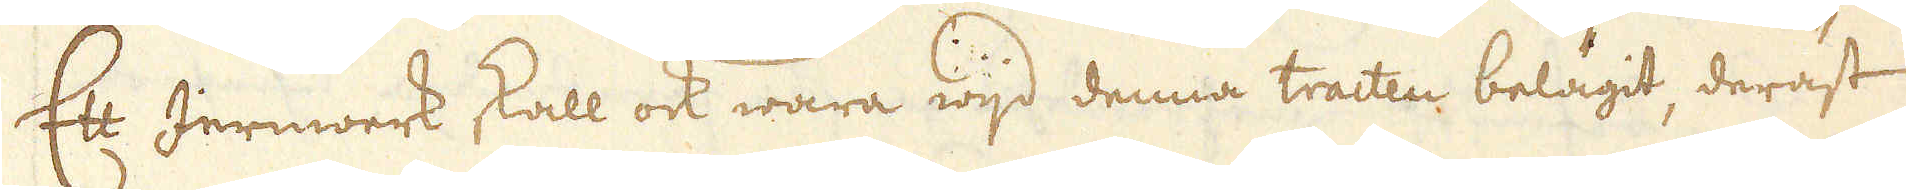Ett Jernwerk skall ock wara wijd denna tracten belägit, deräst
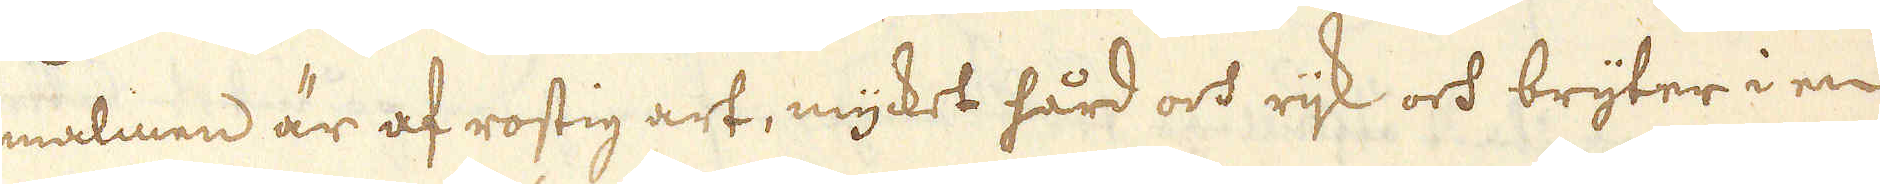malmen är af rostig art, mycket hård och rijk och bryter i en
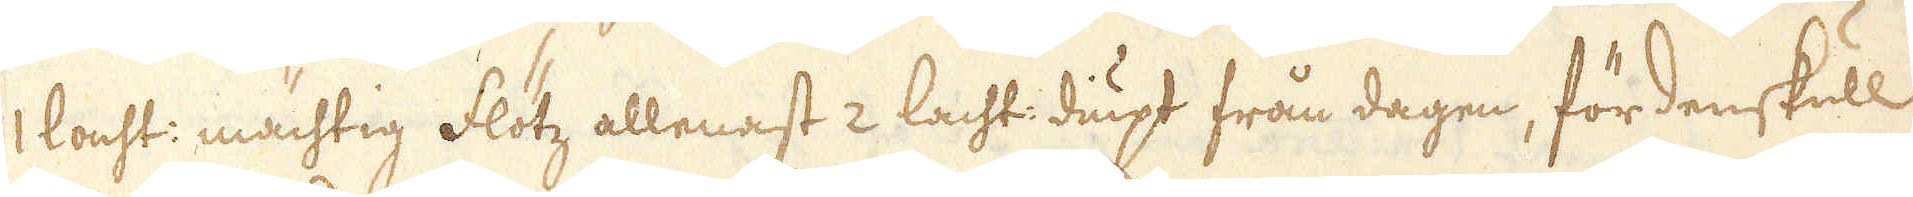1 lacht: mächtig Flötz allenast 2 lacht: diupt från dagen, fördenskull
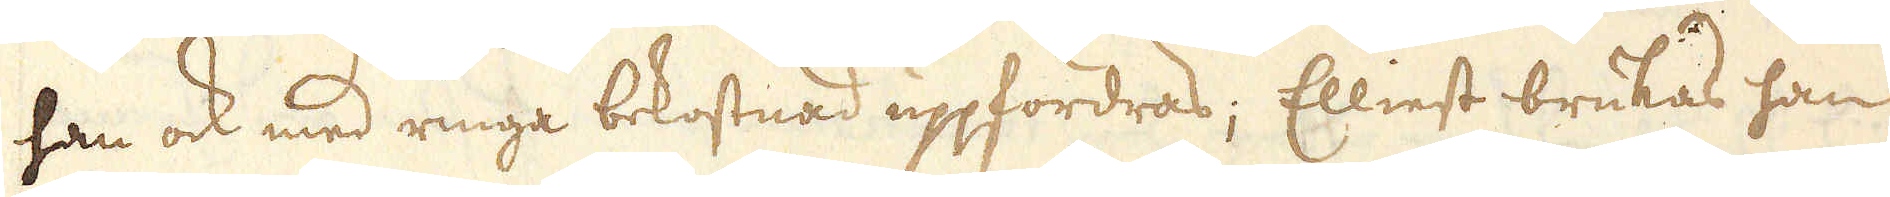han ock med ringa bekostnad uppfordras; Elliest brukas han
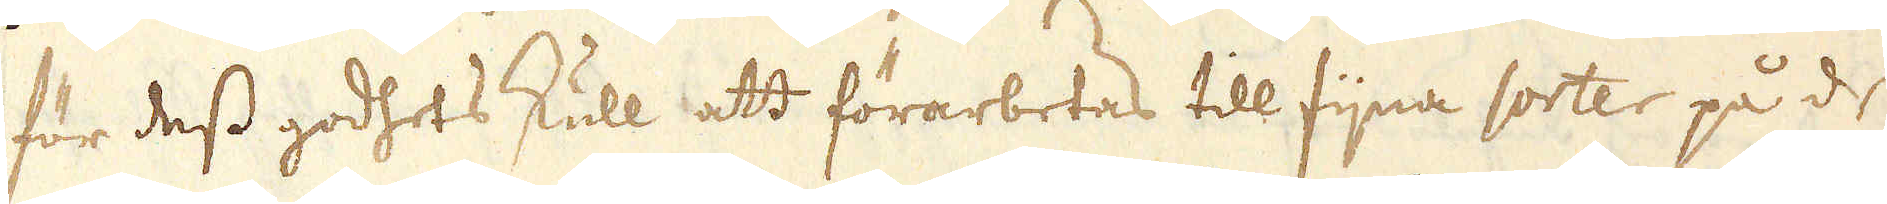för dess godhets skull att förarbetas till fijna sorter på de
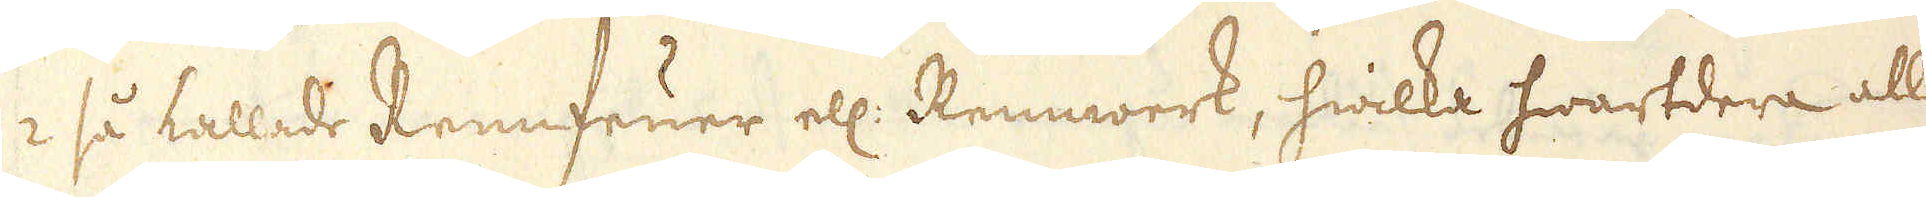2 så kallade Rennfeuer ell: Rennwerk, hwilka hwartdera alle-
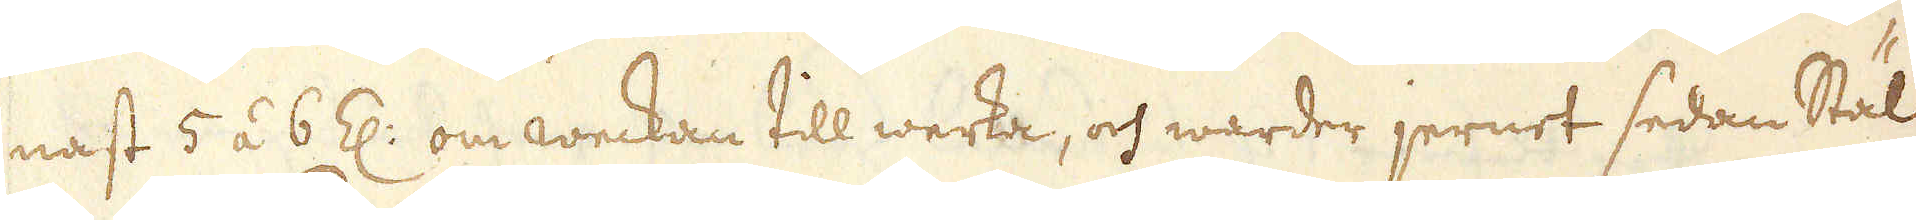nast 5 á 6 Z: om weckan till werka, och warder jernet sedan Stäl-
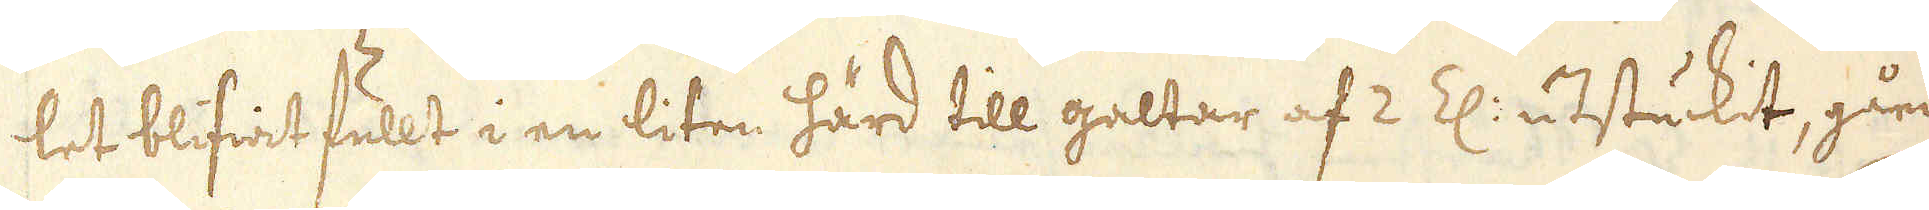let blifwit fullt i en liten härd till galtar af 2 Z: utstuckit, gåen-
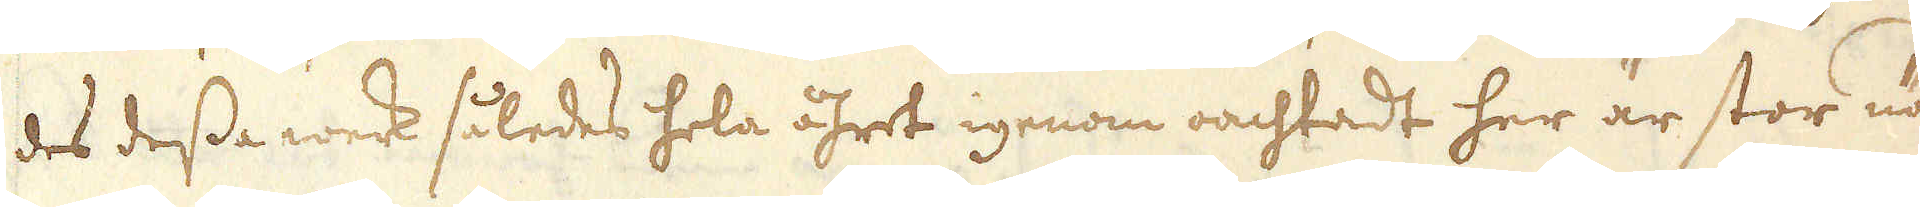des dessa werk således hela åhret igenom oachtadt her är stor nöd
